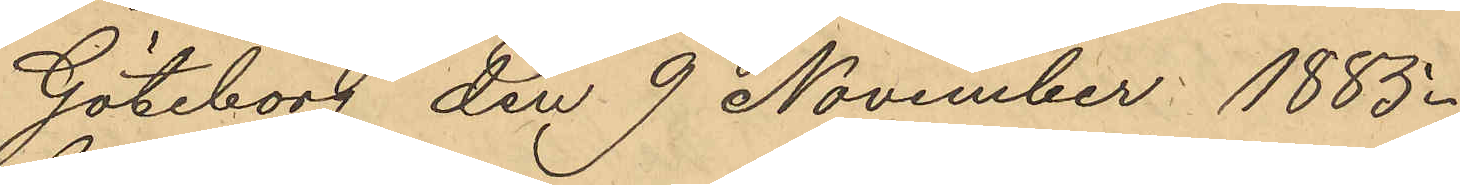Göteborg den 9 November 1885.
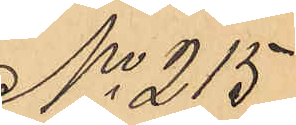No 215
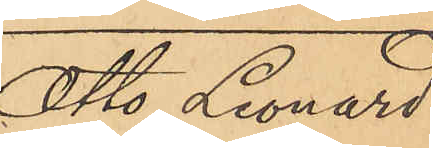Otto Leonard
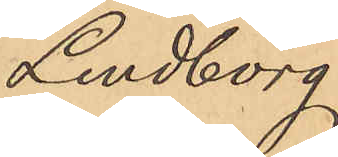Lindborg.
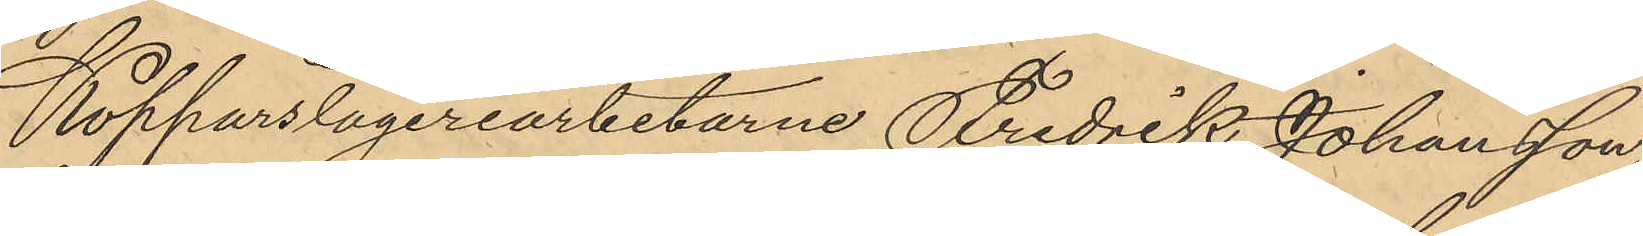Kopparslageriarbetarne Fredrik Johansson
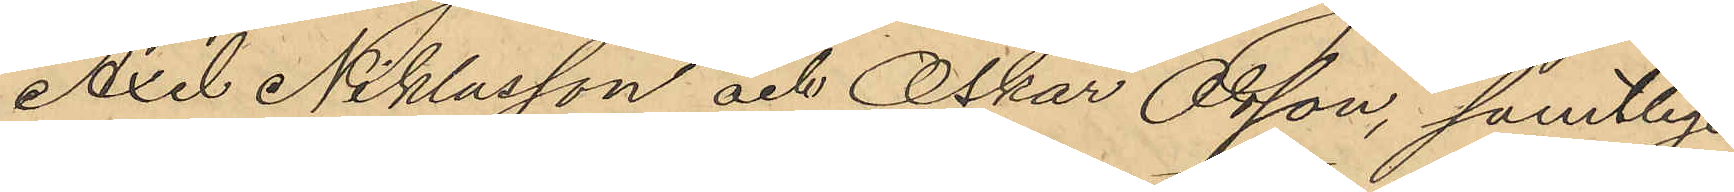Axel Niklasson och Oskar Olsson, samtlige
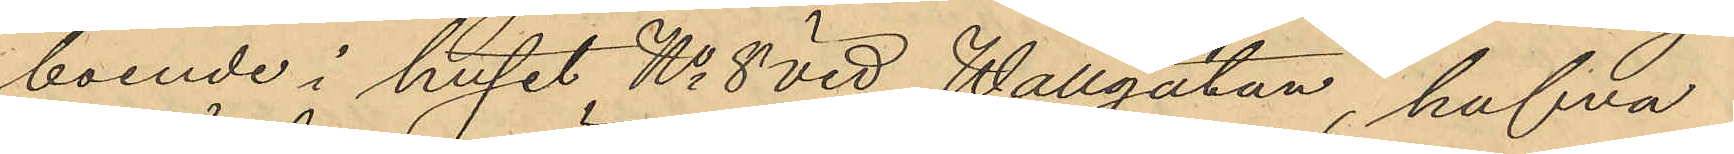boende i huset No 8 vid Wallgatan, hafva
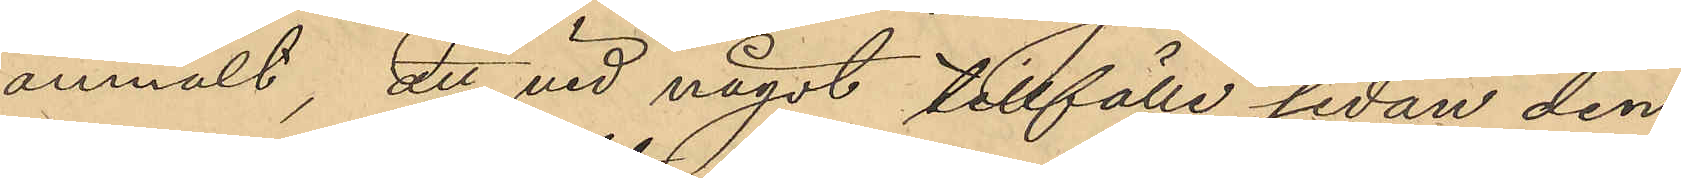anmält, att vid något tillfälle sedan den
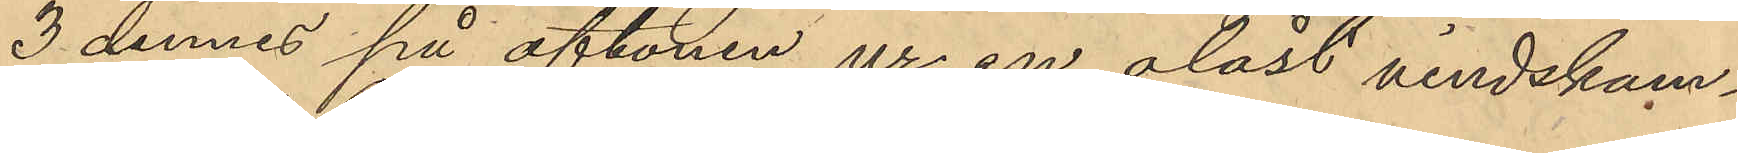3 dennes på aftonen ur en olåst vindskam¬
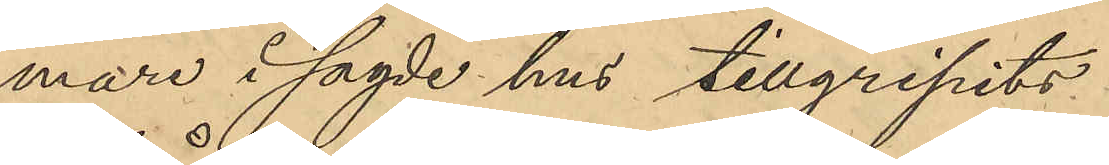mare i sagde hus tillgripits
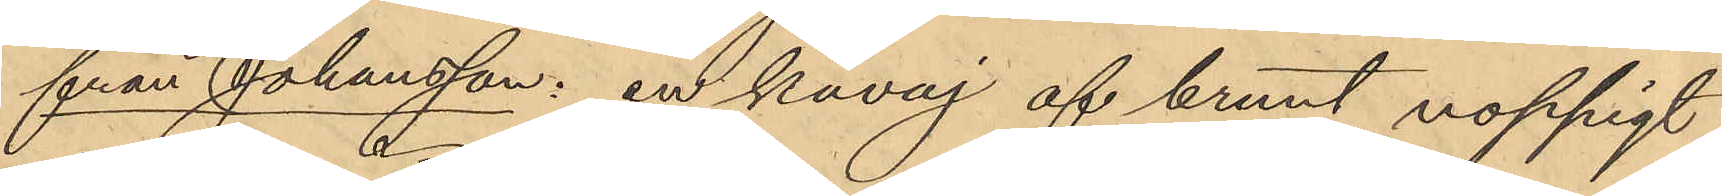från Johansson: en kavaj af brunt noppigt
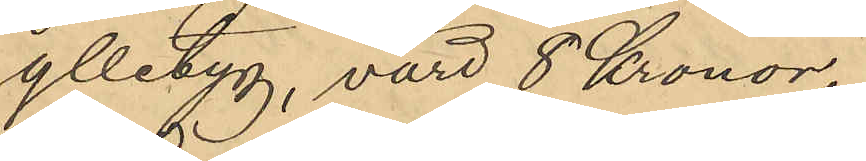ylletyg, värd 8 Kronor
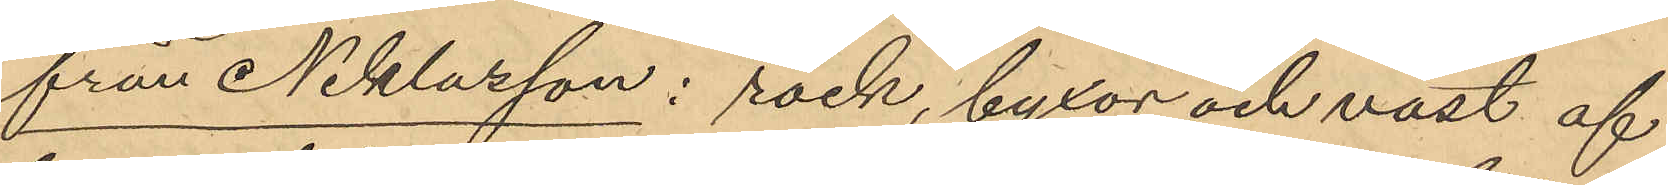från Niklasson: rock, byxor och väst af
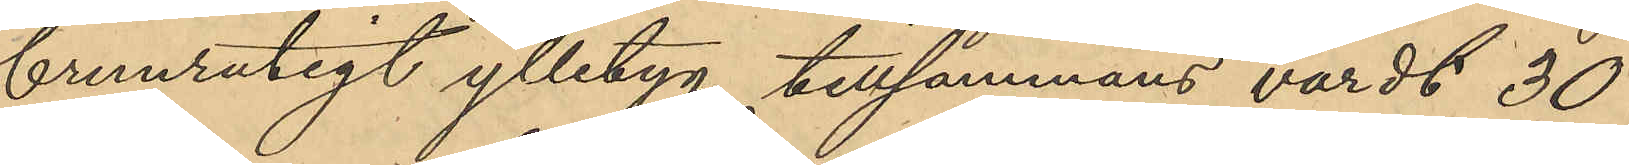brunrutigt ylletyg tillsammans värdt 30
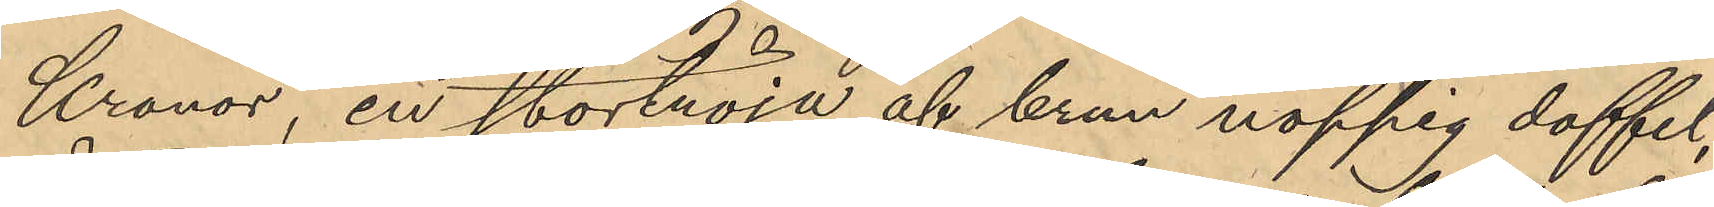Kronor, en stortröja af brun noppig doffel,
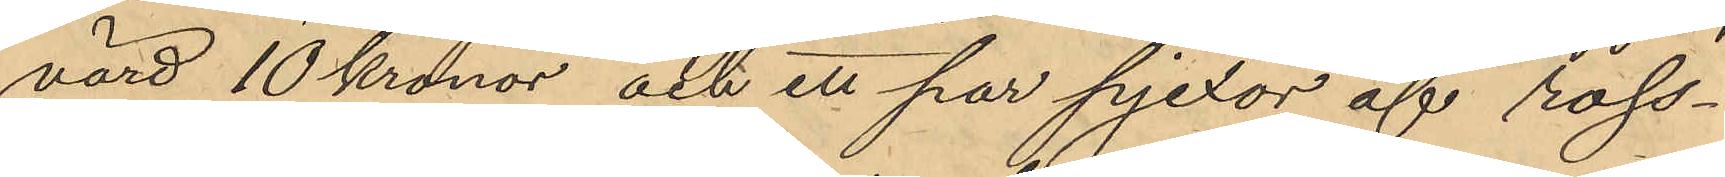värd 10 kronor och ett par pjexor af ross¬
